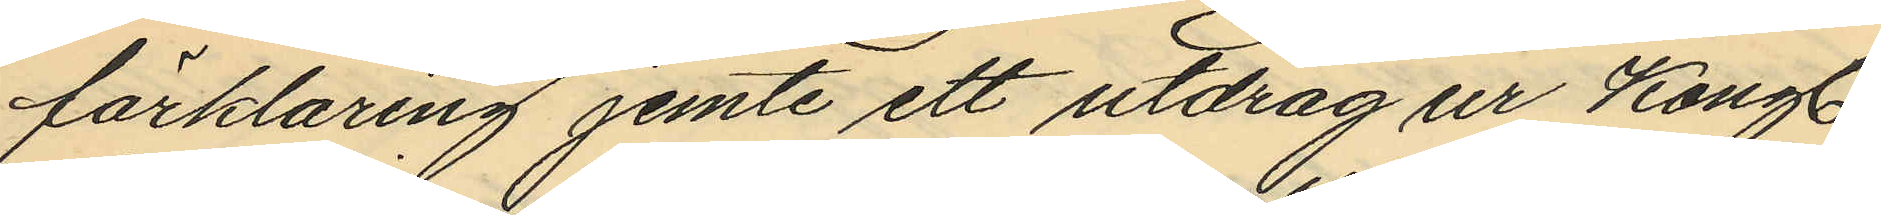förklaring jemte ett utdrag ur Kongl.
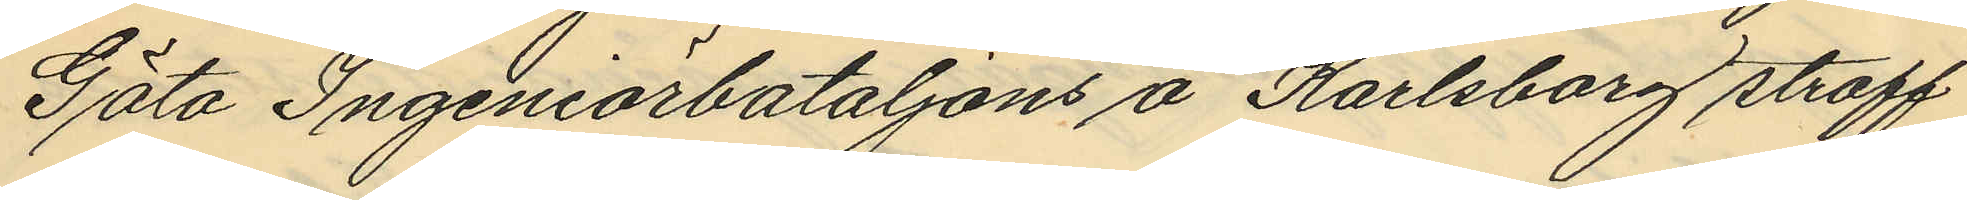Göta Ingeniörbataljons å Karlsborg straff¬
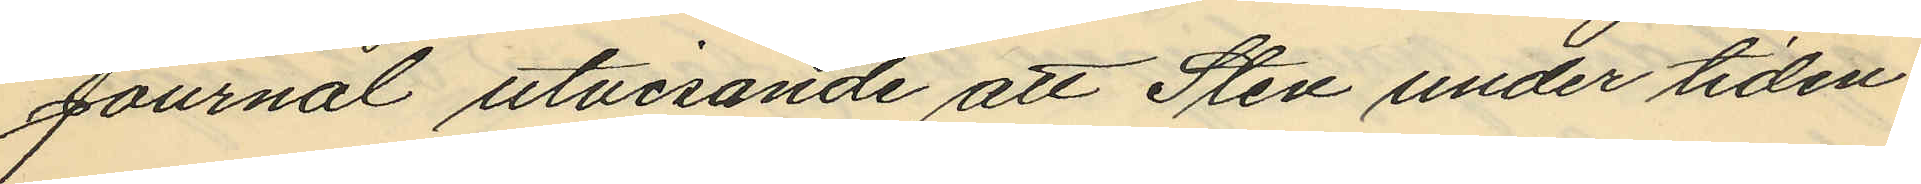Journal utvisande att Sten under tiden
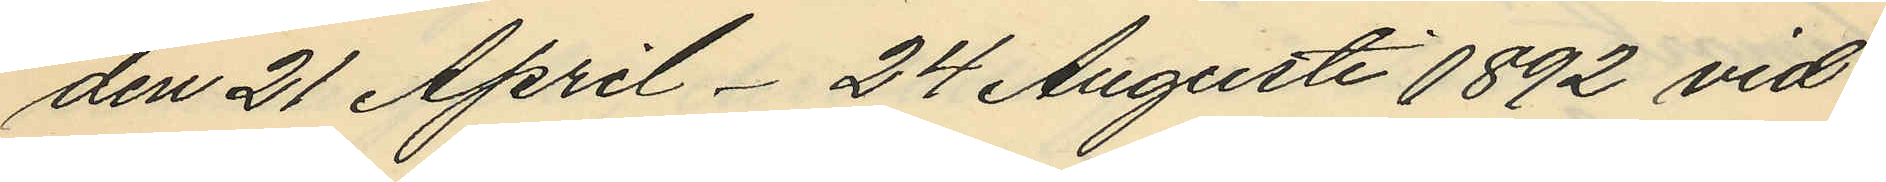den 21 April - 24 Augusti 1892 vid
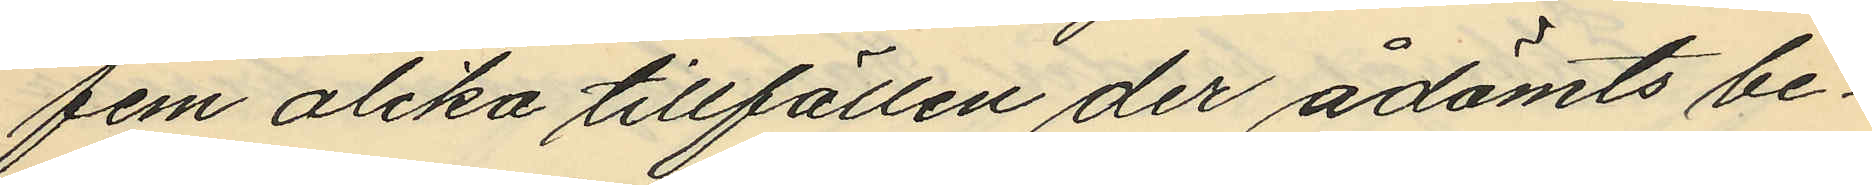fem olika tillfällen der ådömts be¬
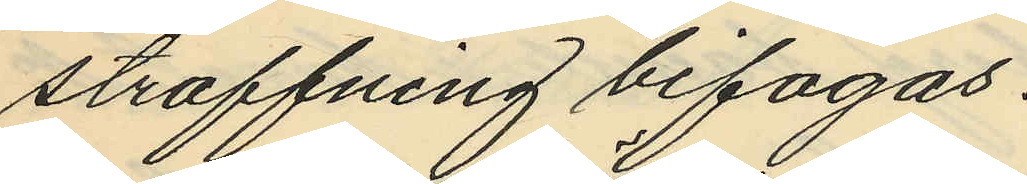straffning bifogas.
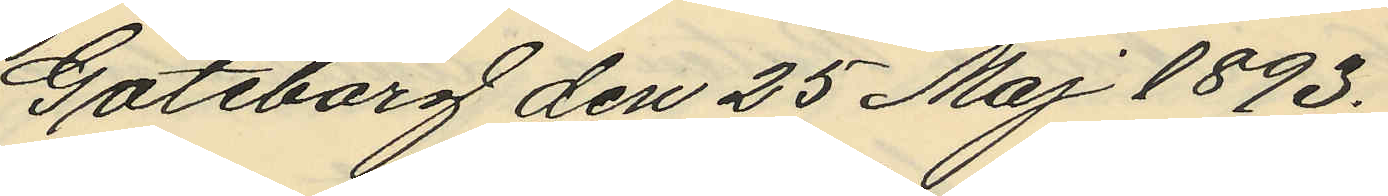Göteborg den 25 Maj 1893.
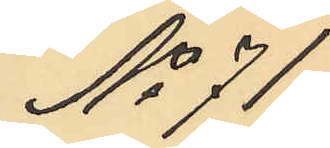No 71.
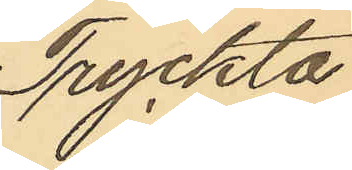Tryckta
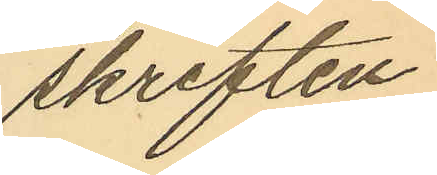skriften
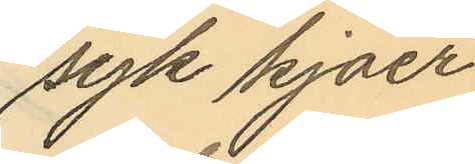"syk kjaer
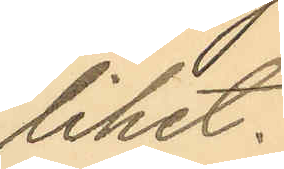lihet."
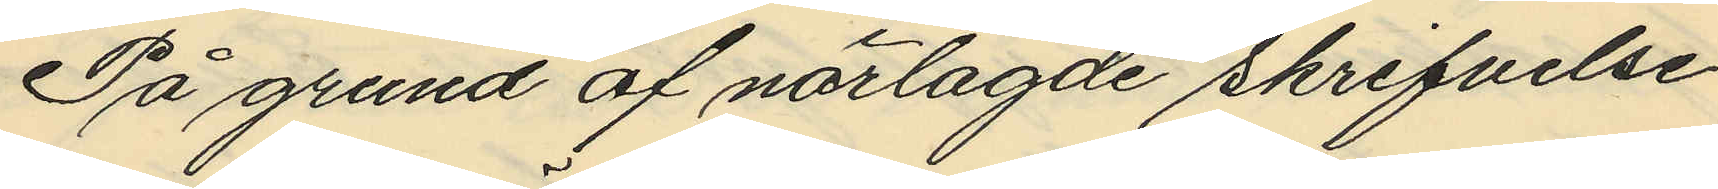På grund af närlagde skrifvelse
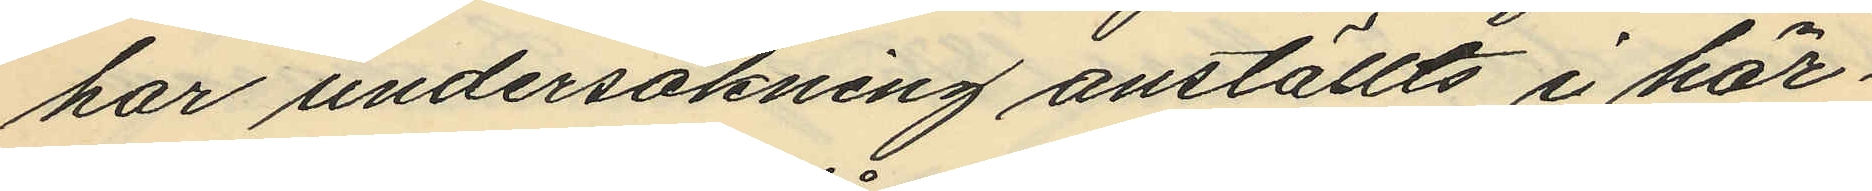har undersökning anställts i här¬
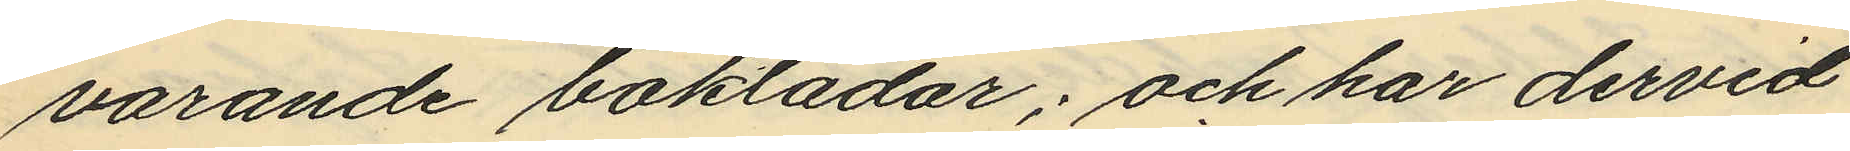varande boklådor; och har dervid
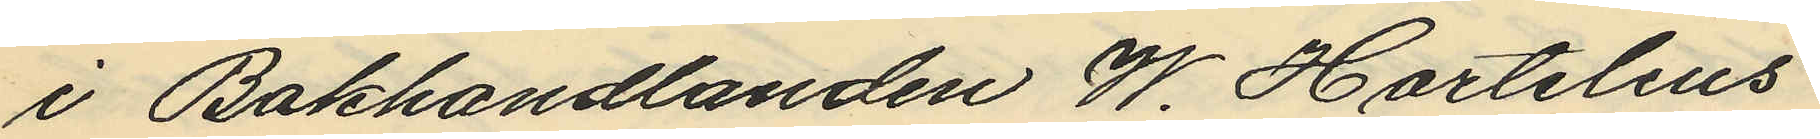i Bokhandlanden W. Hartelius´
